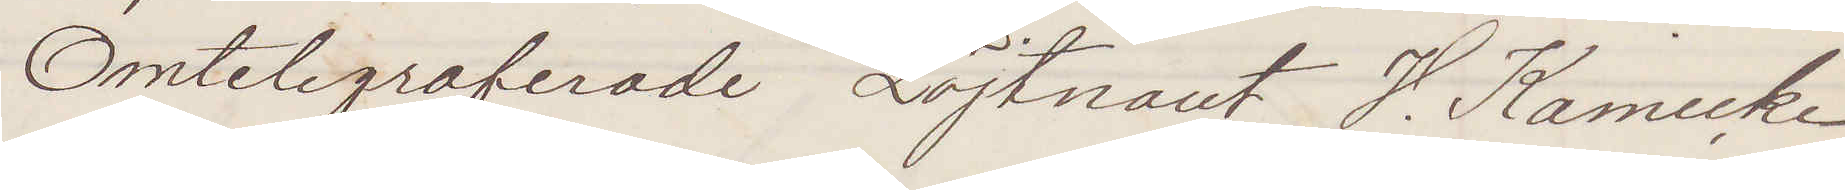Omtelegraferade Löjtnant V. Kamecke
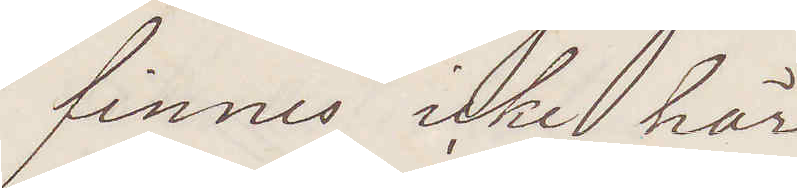finnes icke här
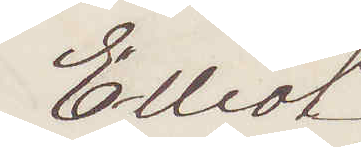Elliot
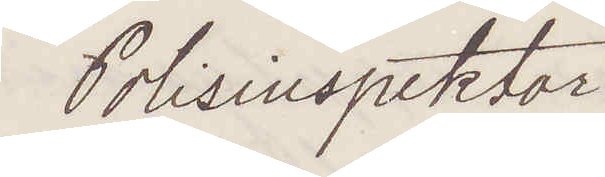Polisinspektor
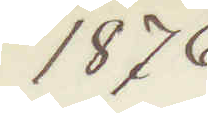1876.
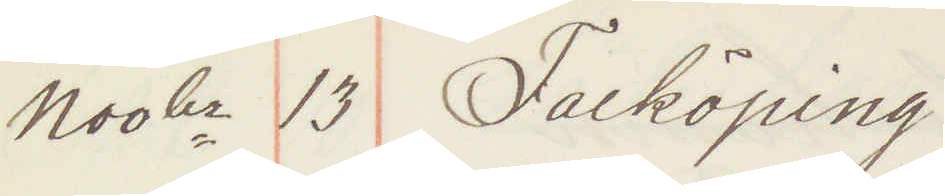Novbr 13 Falköping
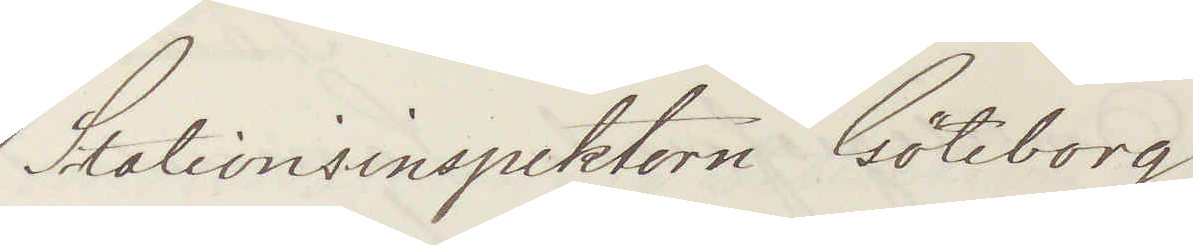Stationsinspektorn Göteborg
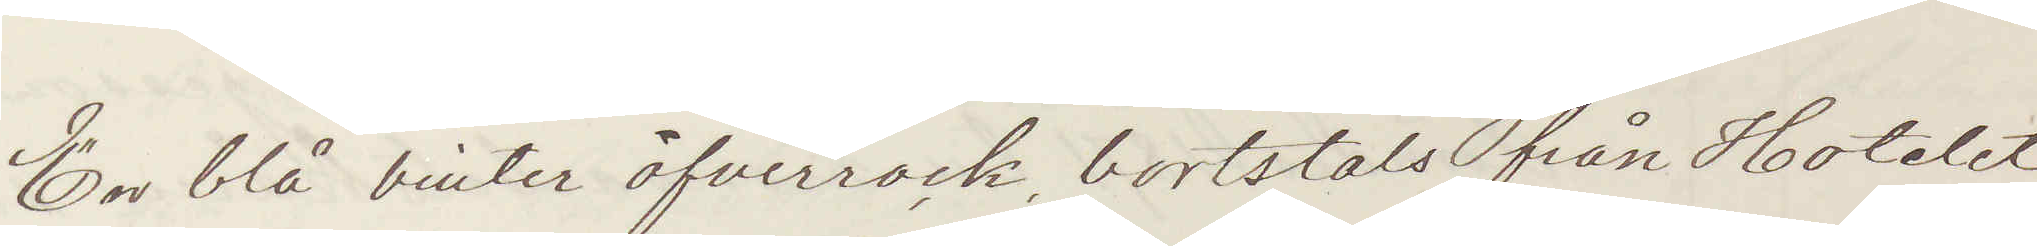En blå vinter öfverrock bortstals från Hotelet
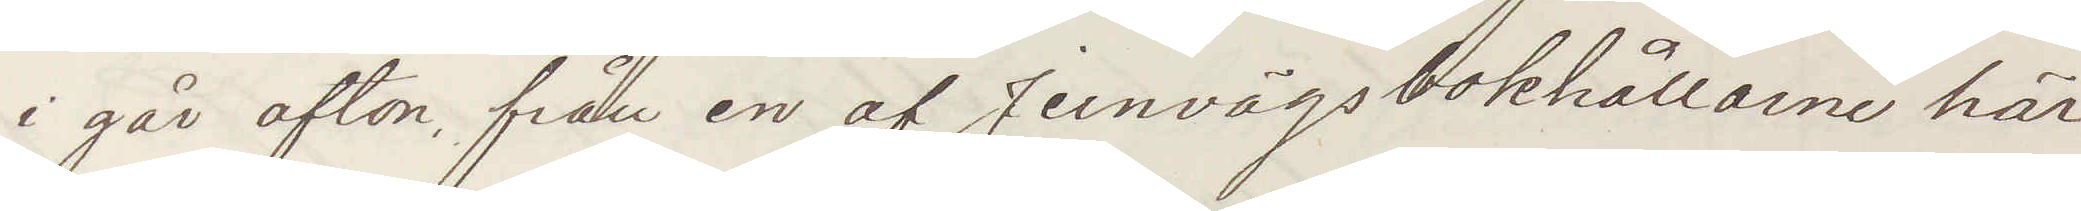i går afton, från en af Jernvägsbokhållarne här¬
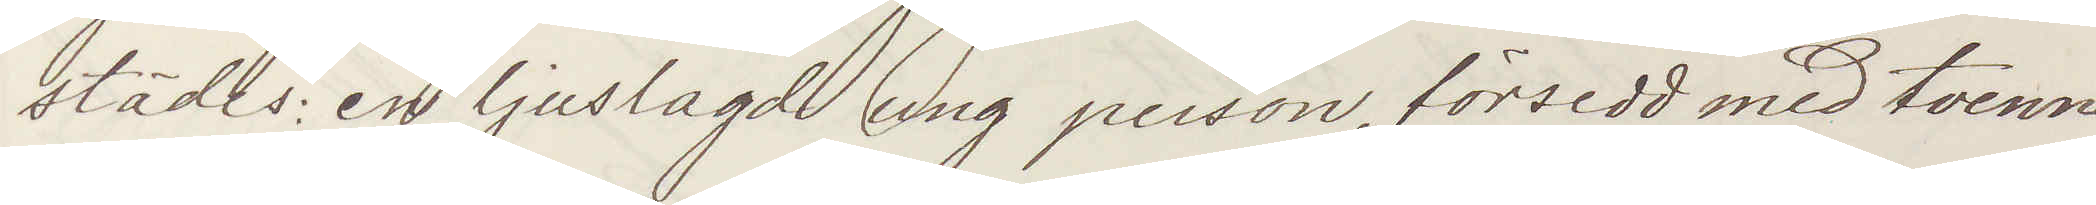städes: en ljuslagd ung person, försedd med tvenne
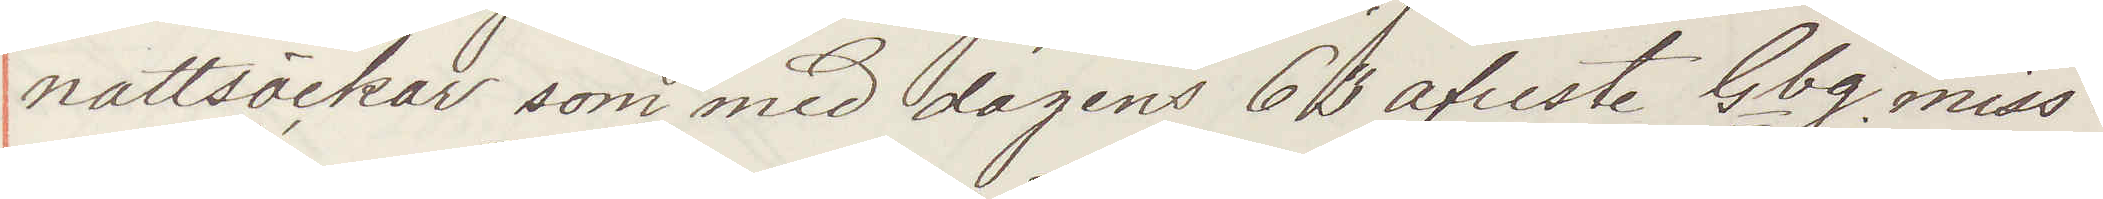nattsäckar som med dagens 63 afreste Gbg miss¬
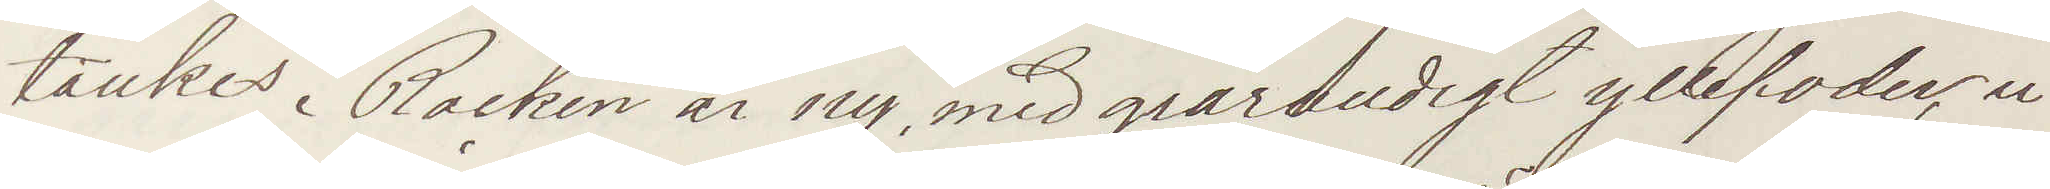tänkes. Rocken är ny med grårandigt yllefoder u¬
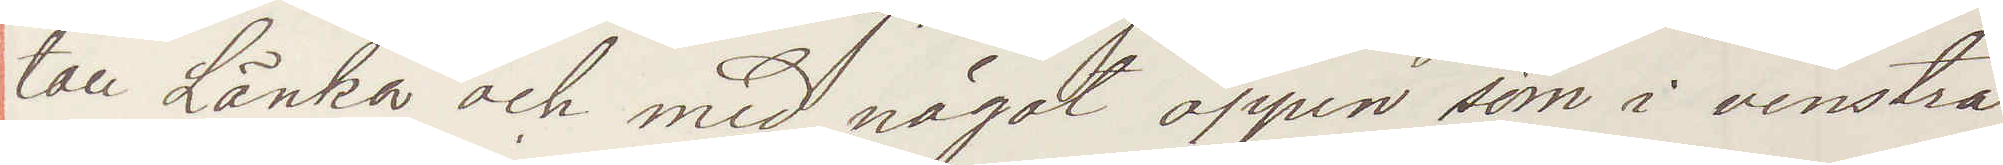tan Länka och med något öppen söm i venstra
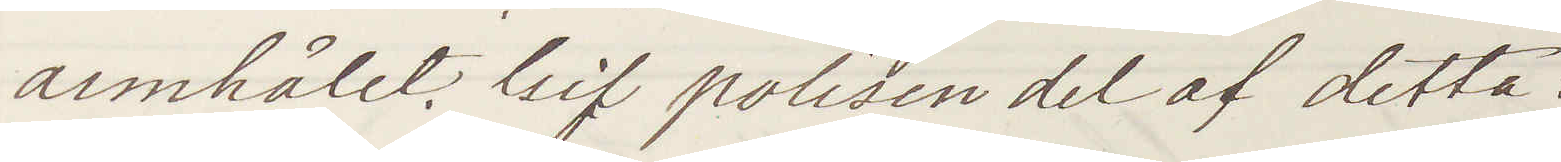armhålet. Gif polisen del af detta
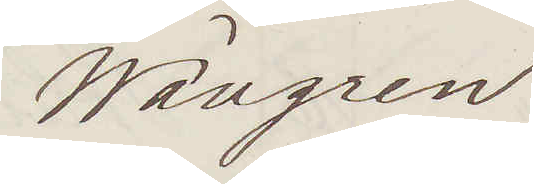Wallgren
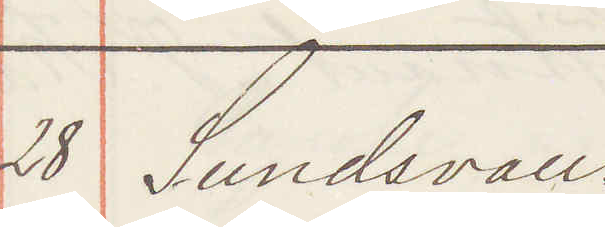28 Sundsvall
